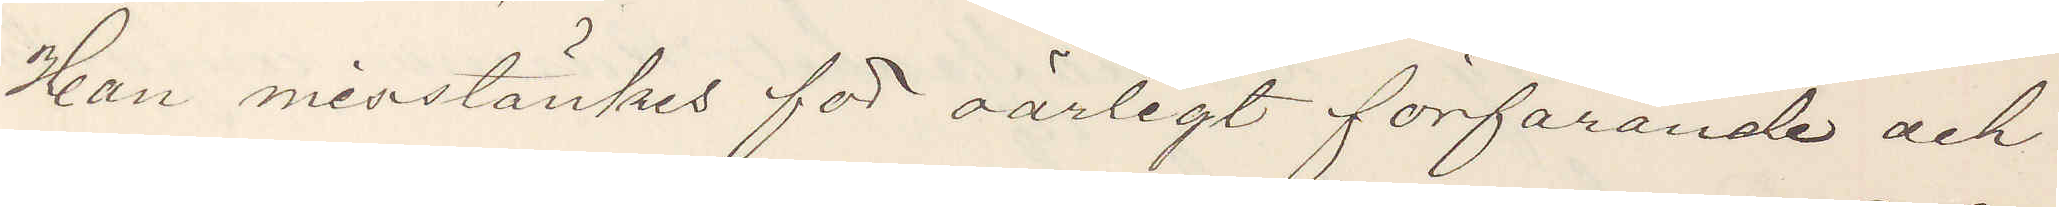Han misstänkes för oärligt förfarande och
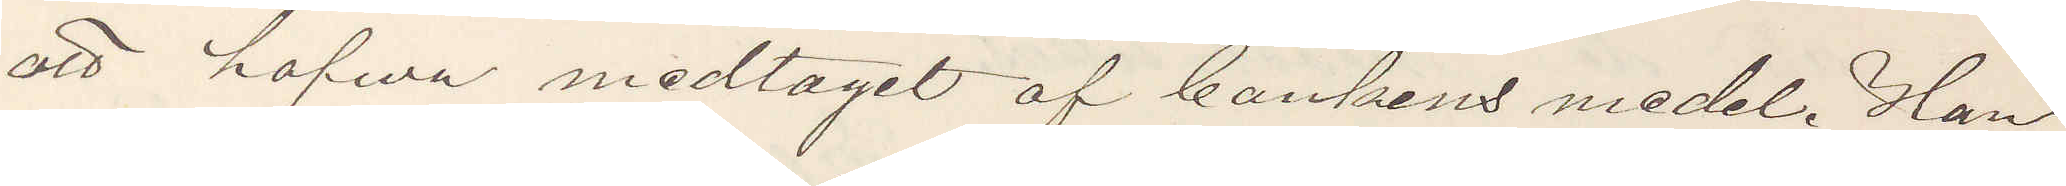att hafva medtagit af bankens medel. Han
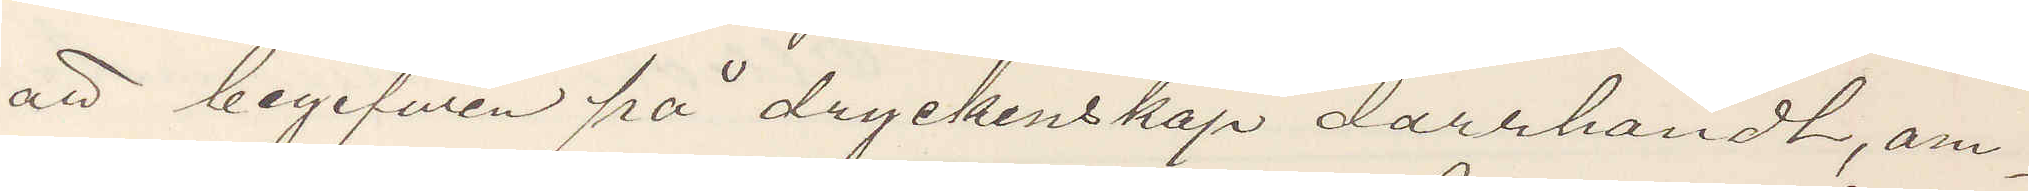är begifven på dryckenskap darrhändt, om¬
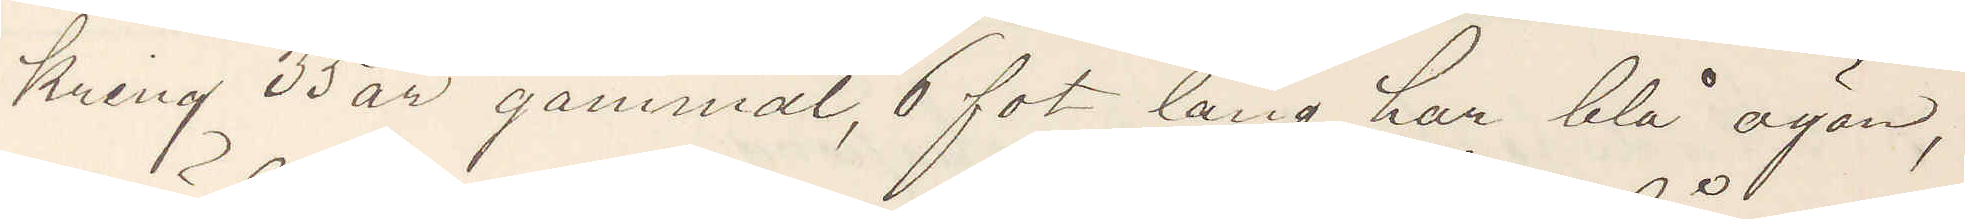kring 35 år gammal, 6 fot lång har blå ögon,
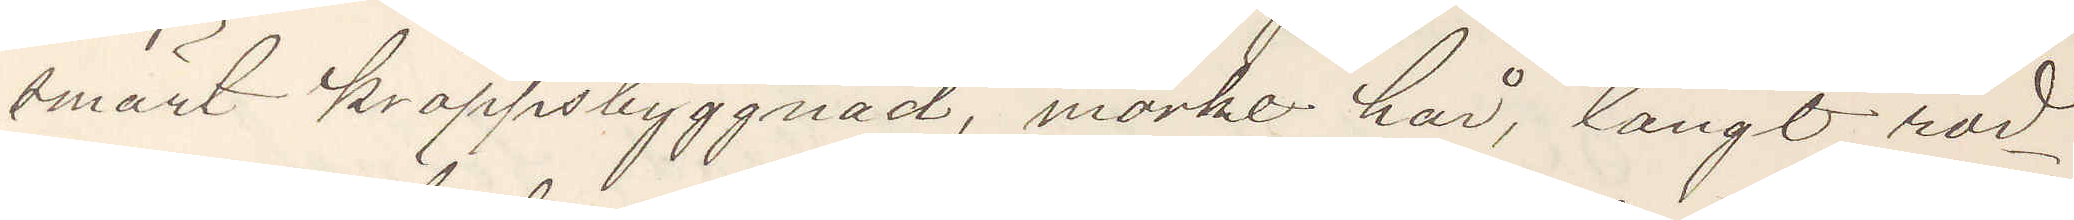smärt kroppsbyggnad, mörkt hår, långt röd¬
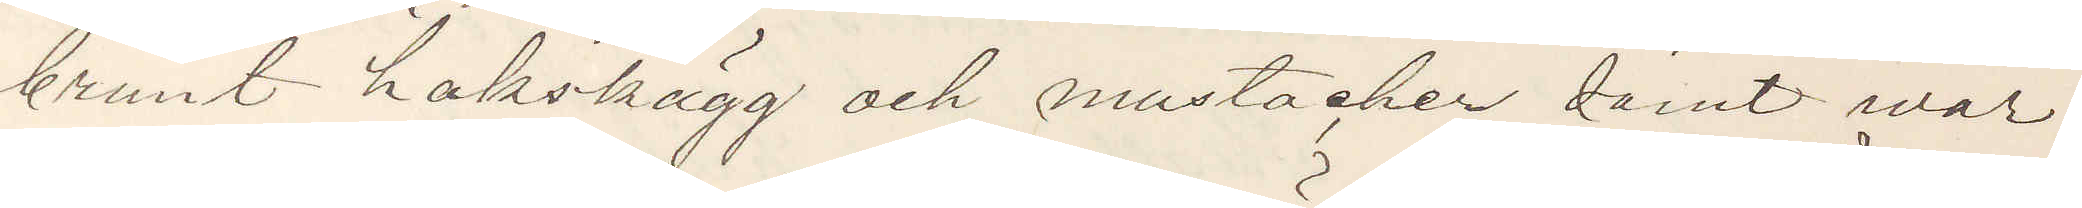brunt hakskägg och mustacher samt war
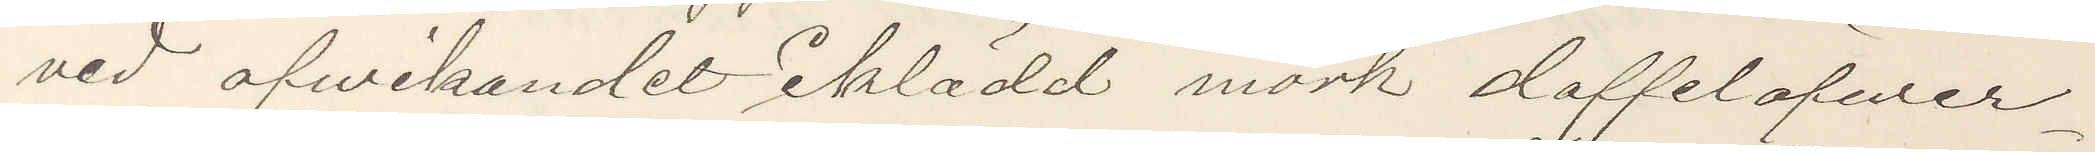vid afwikandet iklädd mörk doffelöfwer¬
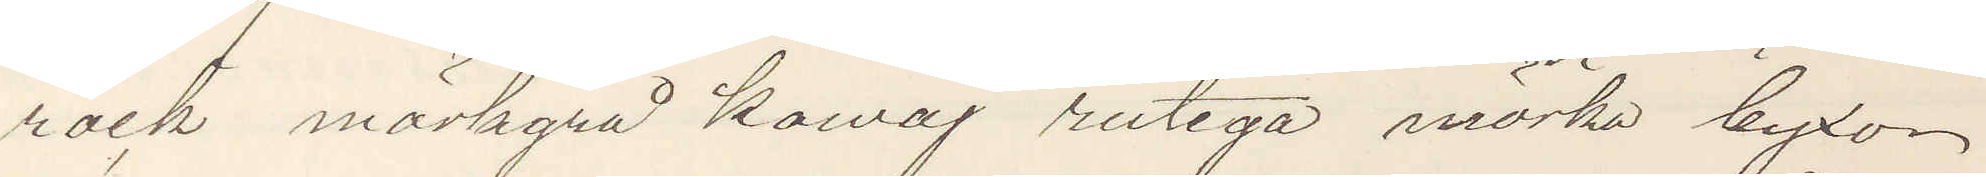rock mörkgrå kawaj rutiga mörka byxor
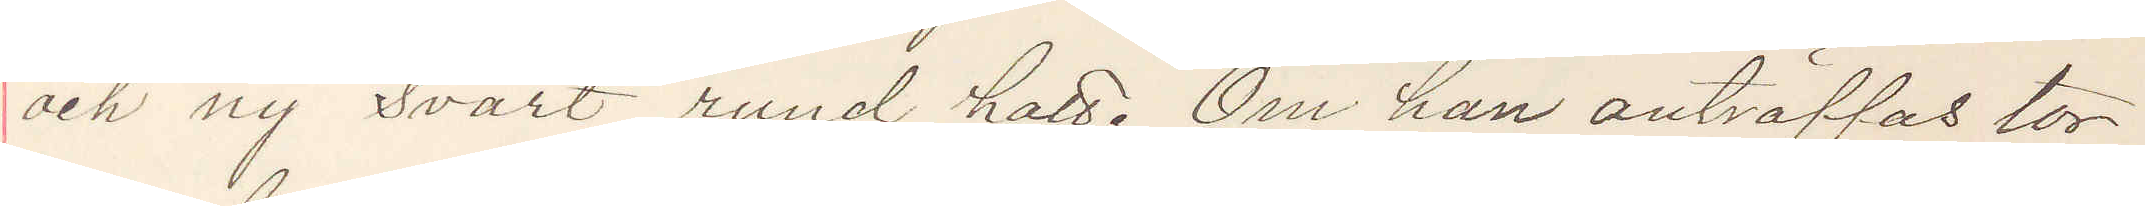och ny svart rund katt. Om han anträffas tor¬
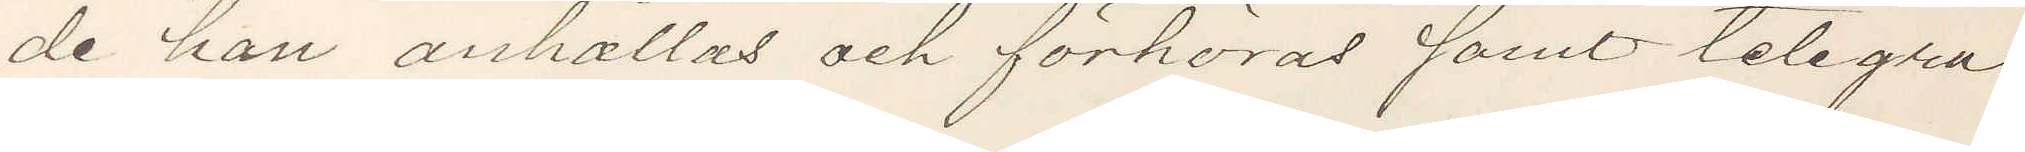de han anhållas och förhöras samt telegra¬
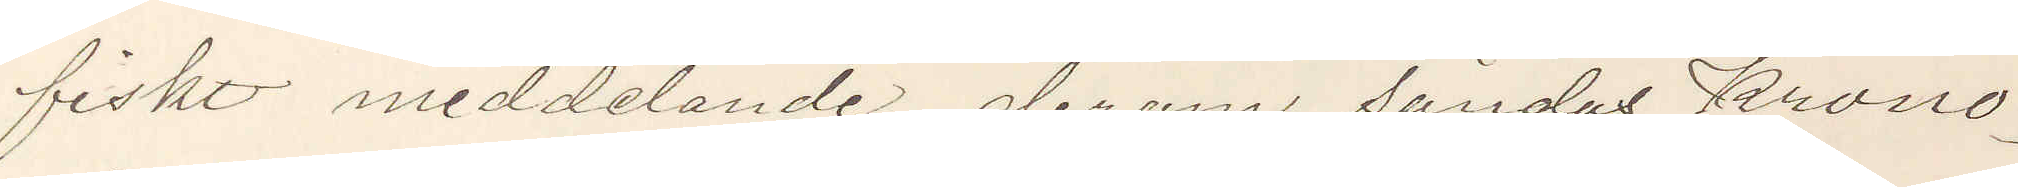fiskt meddelande derom sändas Krono¬
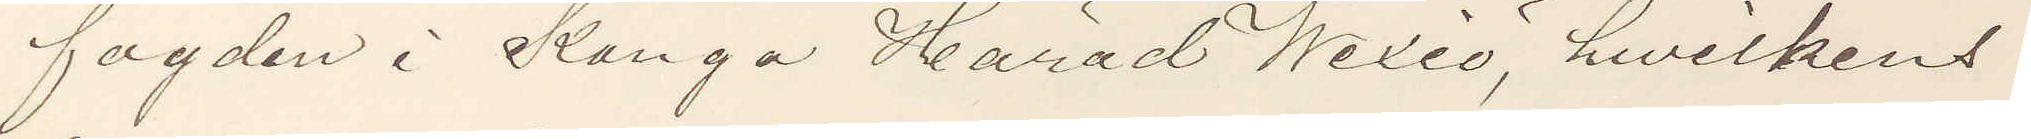fogden i Konga Härad Wexiö, hwilkens
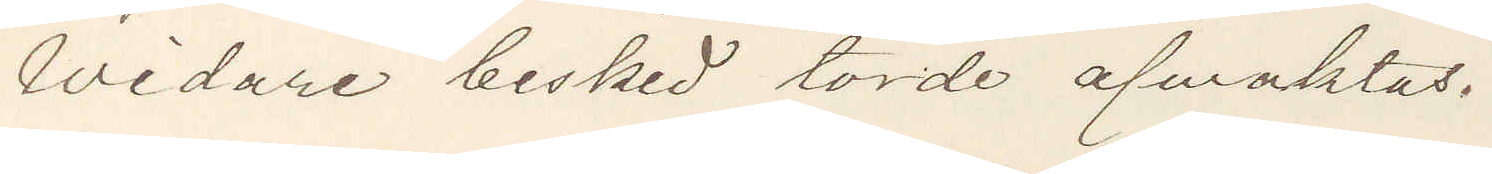widare besked torde afwaktas.
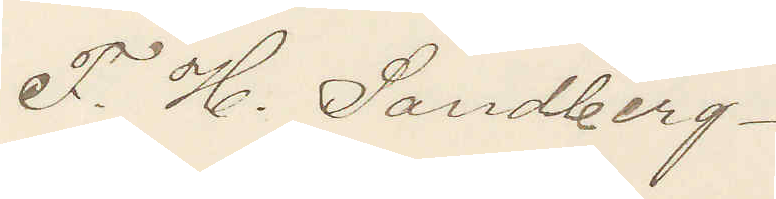F. H. Sandberg
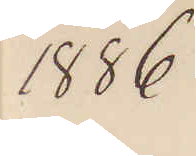1886.
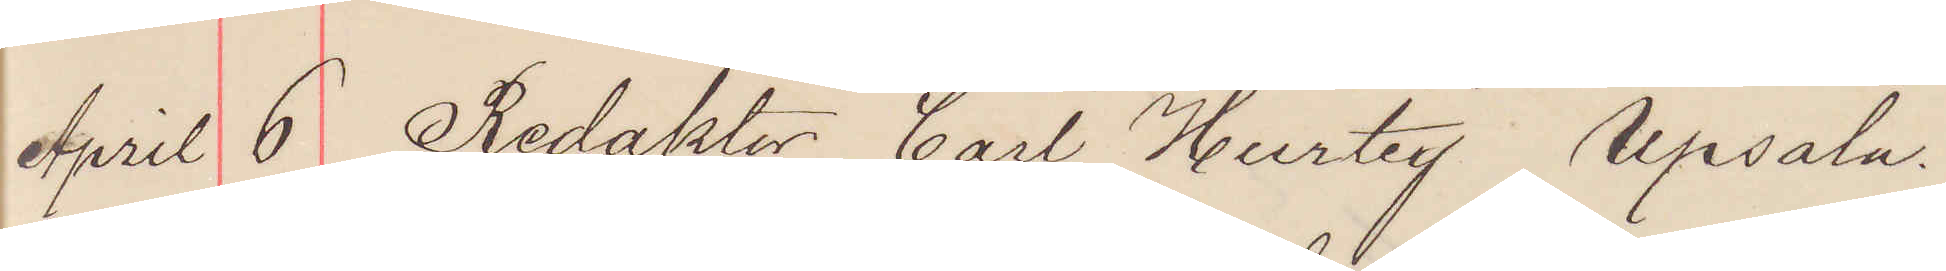April 6 Redaktör Carl Hurtig Upsala.
